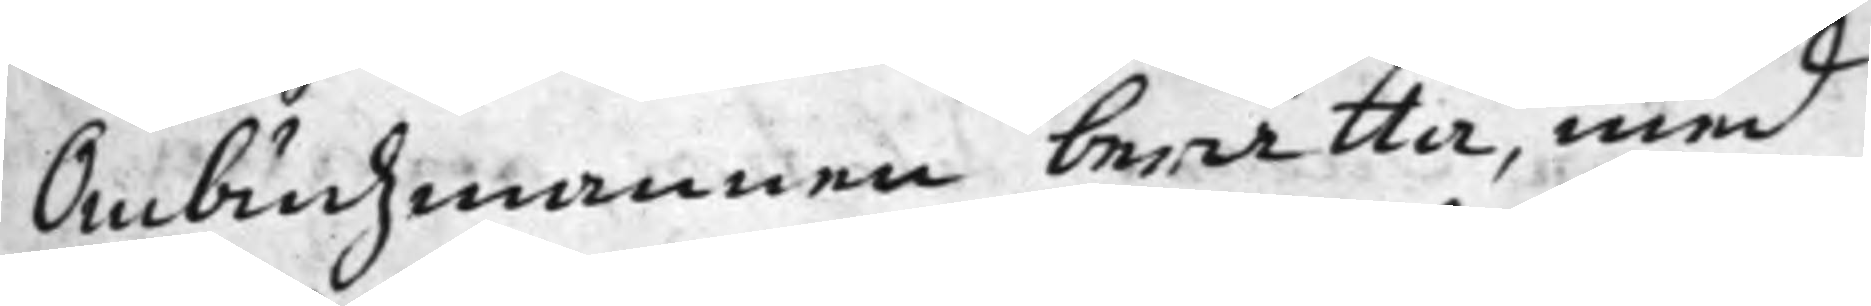Ombudsmannen berätta, med
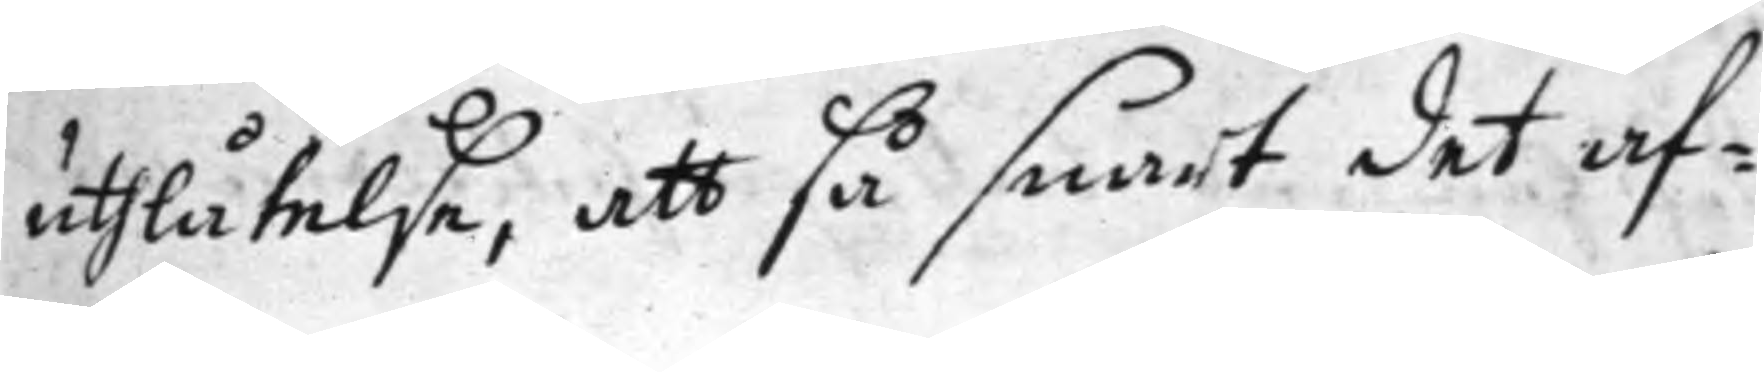uthlåtelse, att så snart det af¬
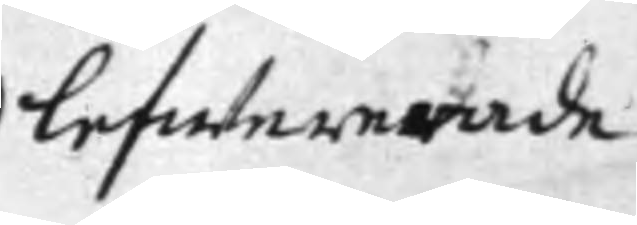lefwererade
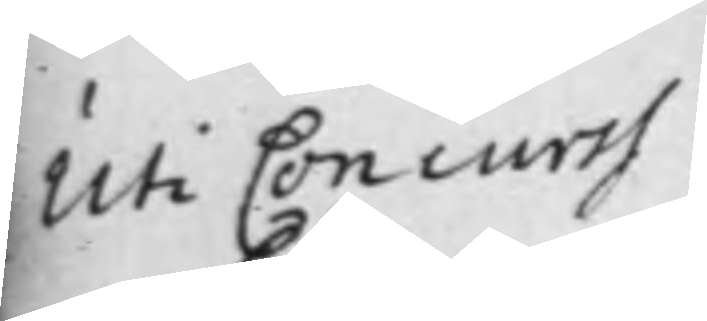Uti Concurss
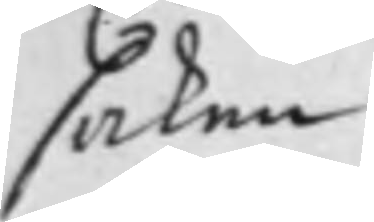saken
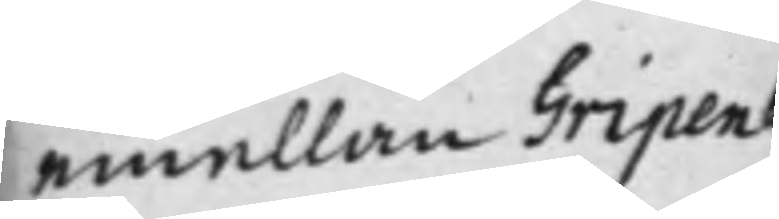emellan Gripen¬
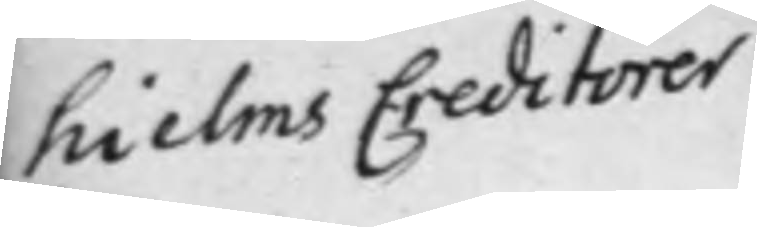hielms Creditorer
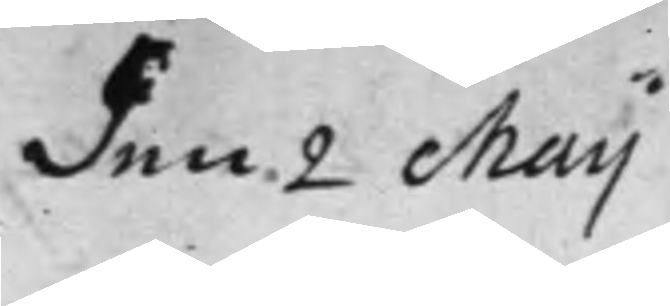den 2 Maij
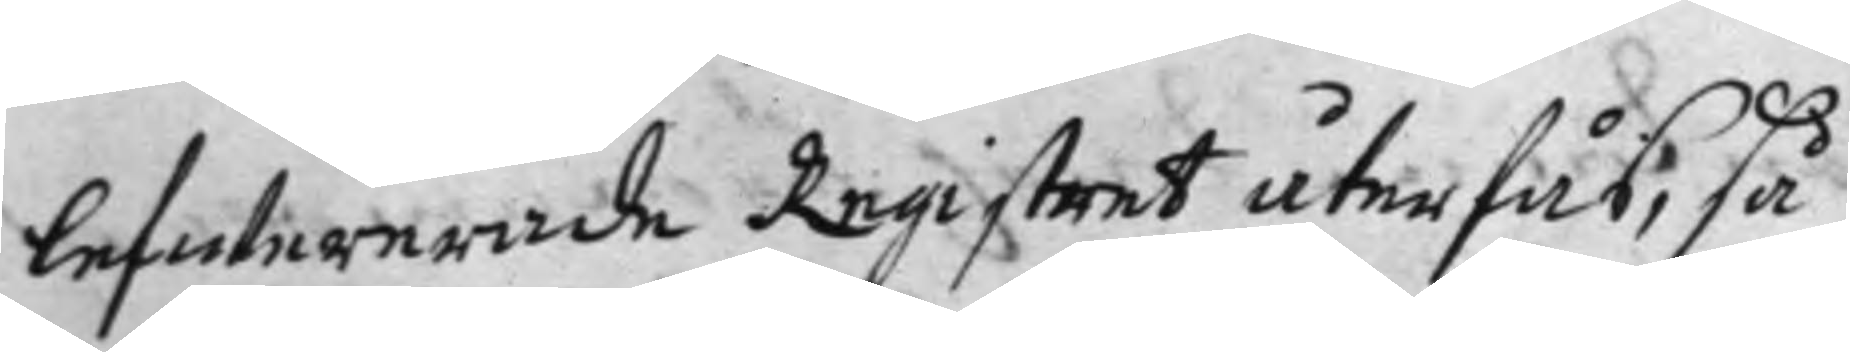lefwererade Registret återfås, så
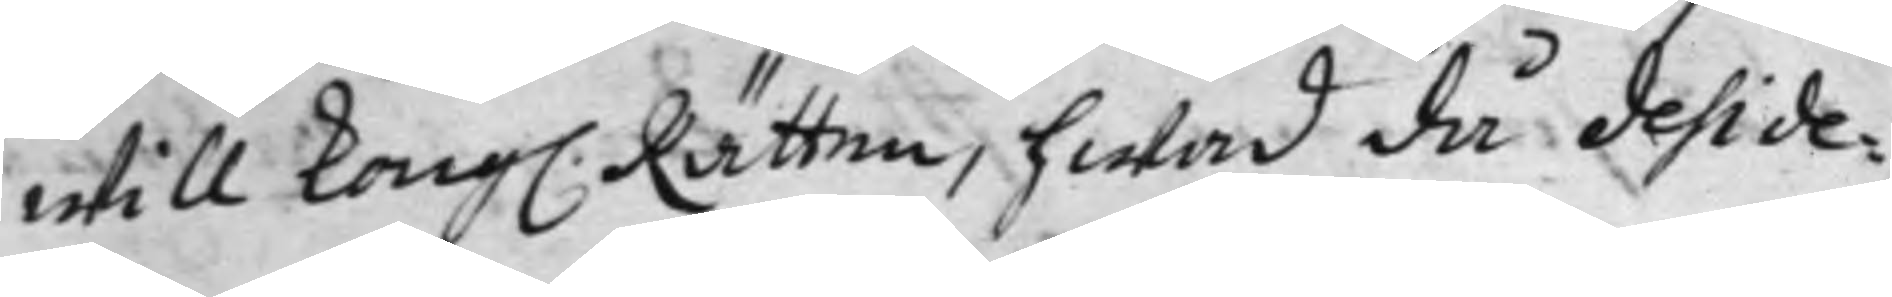will Kong. Rätten, hwad då deside¬
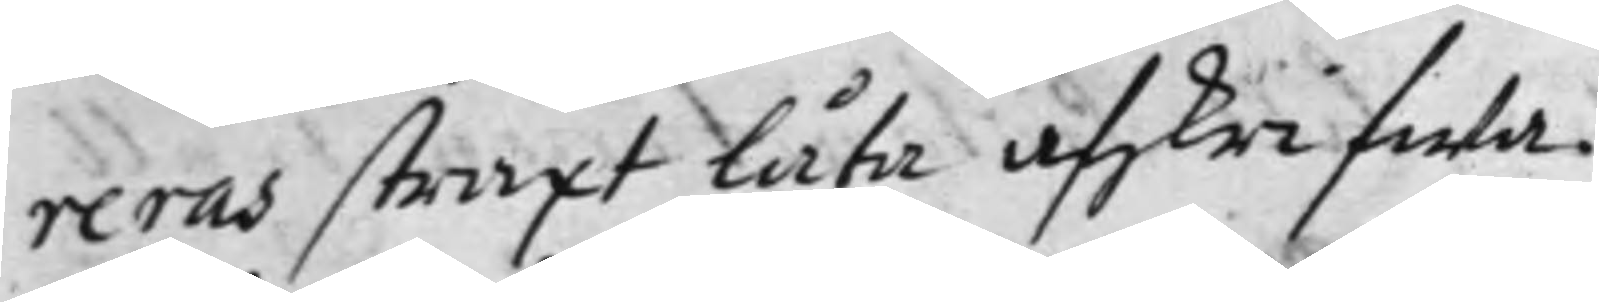reras straxt låta afskrifwa.
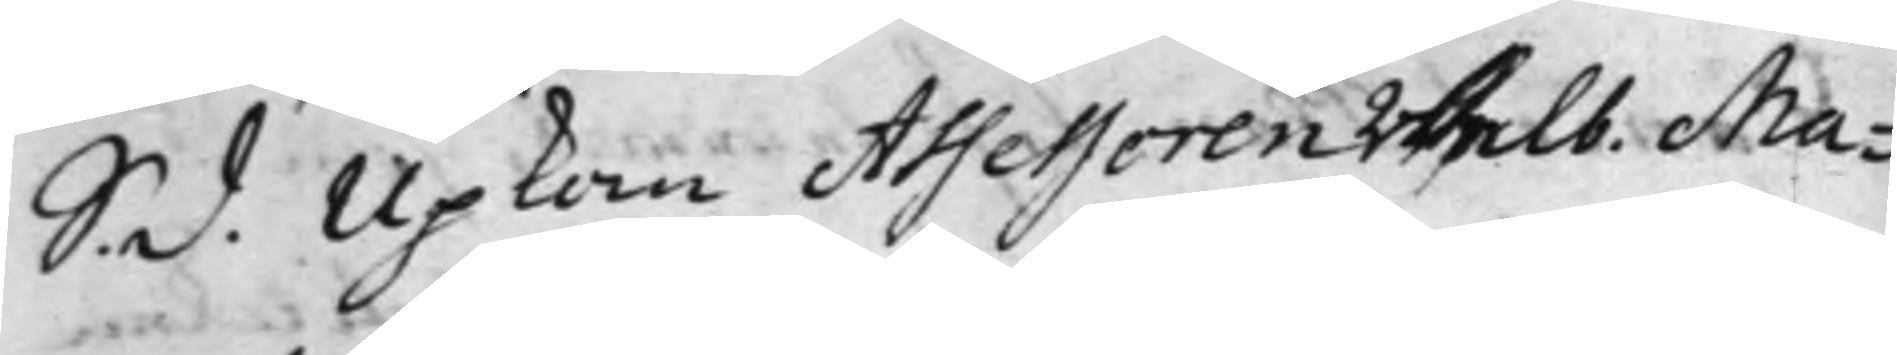S. d. Upkom Assessoren Welb. Ma¬
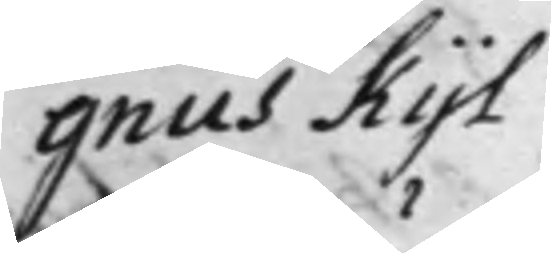gnus Kijl
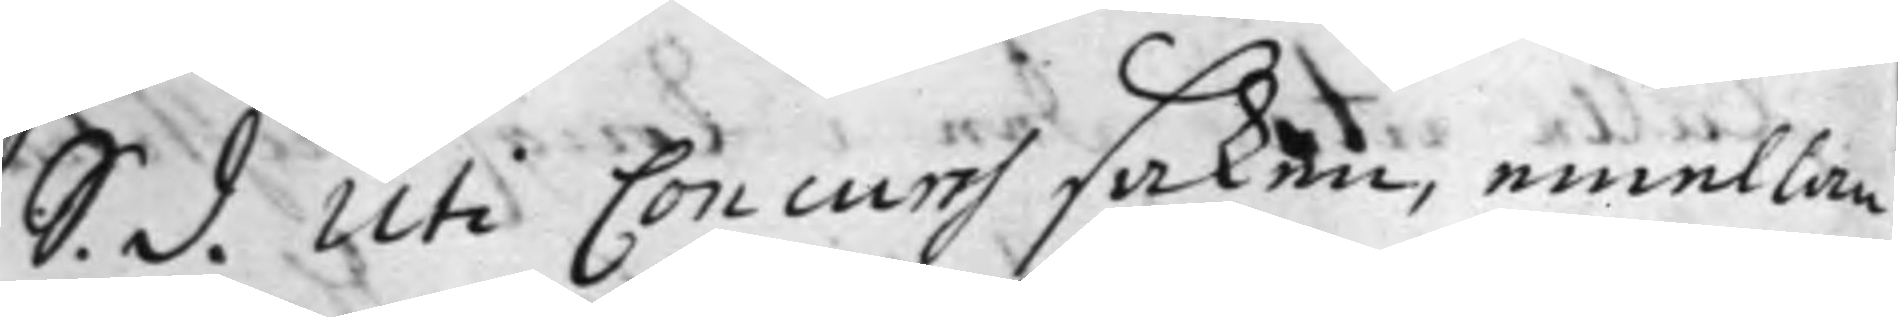S. d. Uti Concurss saken, emellan
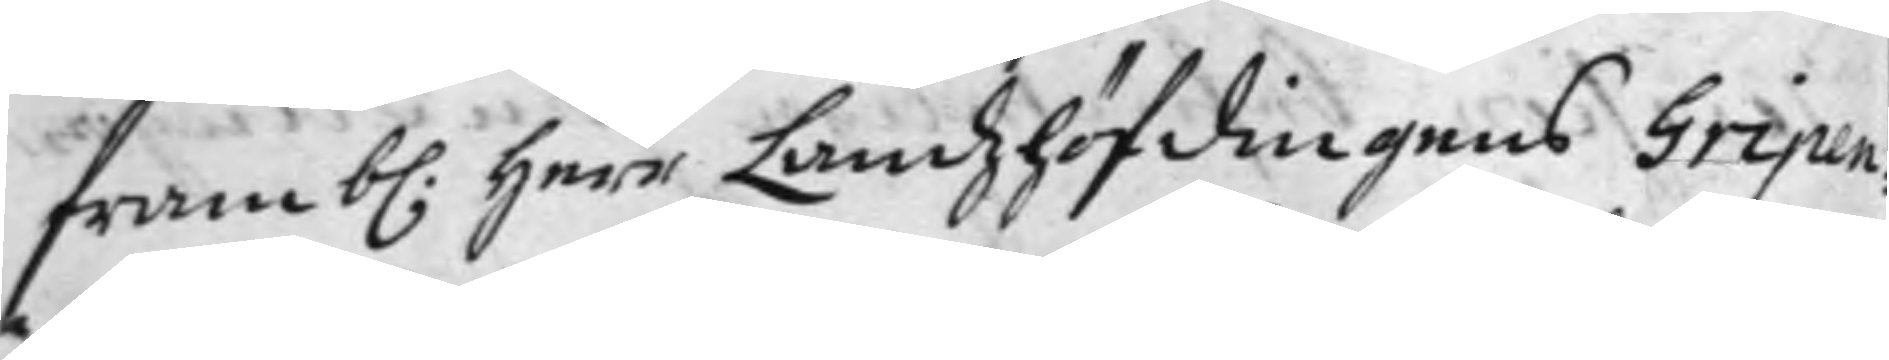framb. Herr Landzhöfdingens Gripen¬
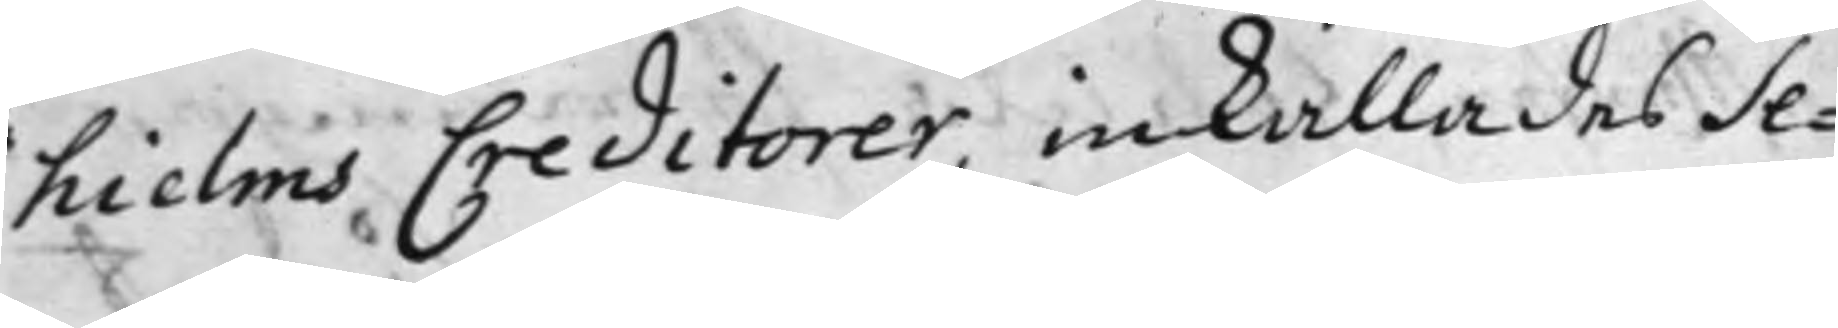hielms Creditorer, inkallades Se¬
